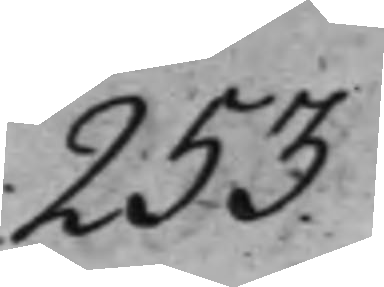253.
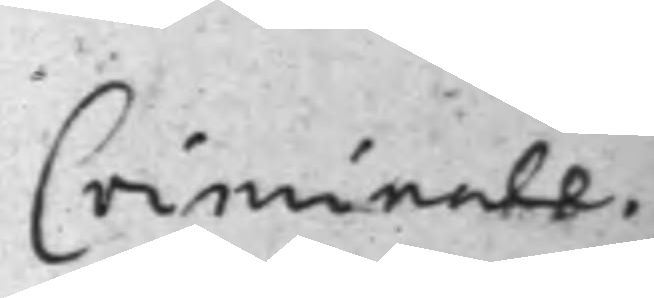Criminale.
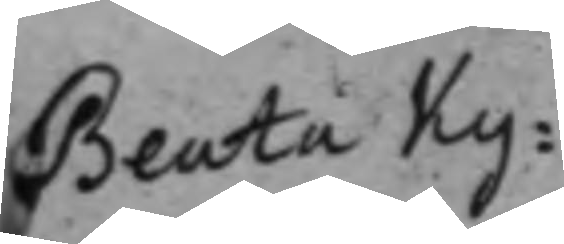Beata Ky¬
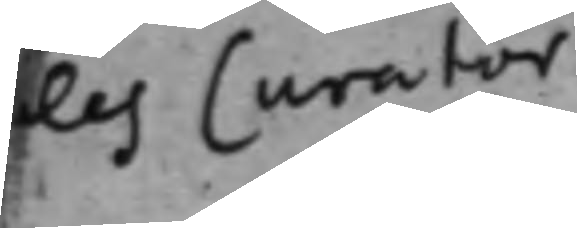les Curator
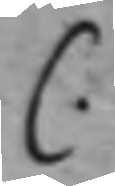C.
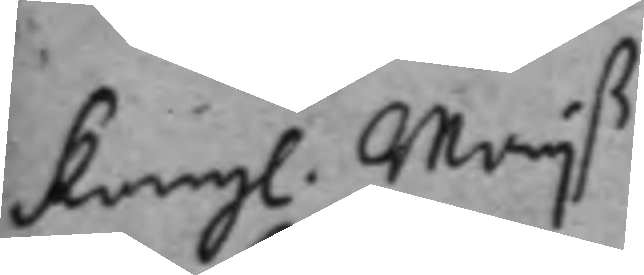Kongl. Maijß
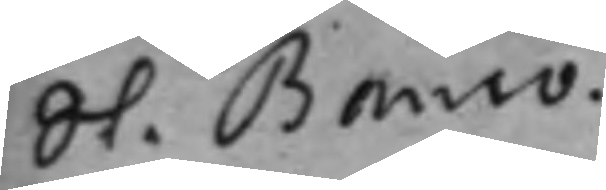St. Banco.
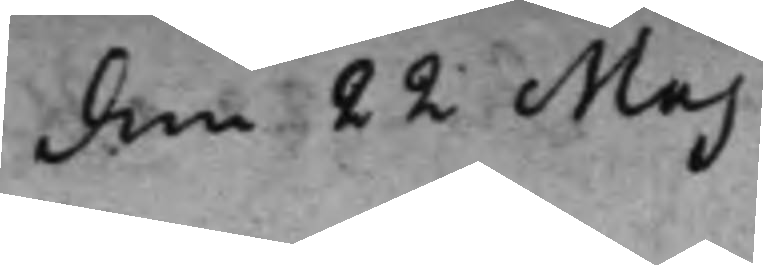den 22 Maj
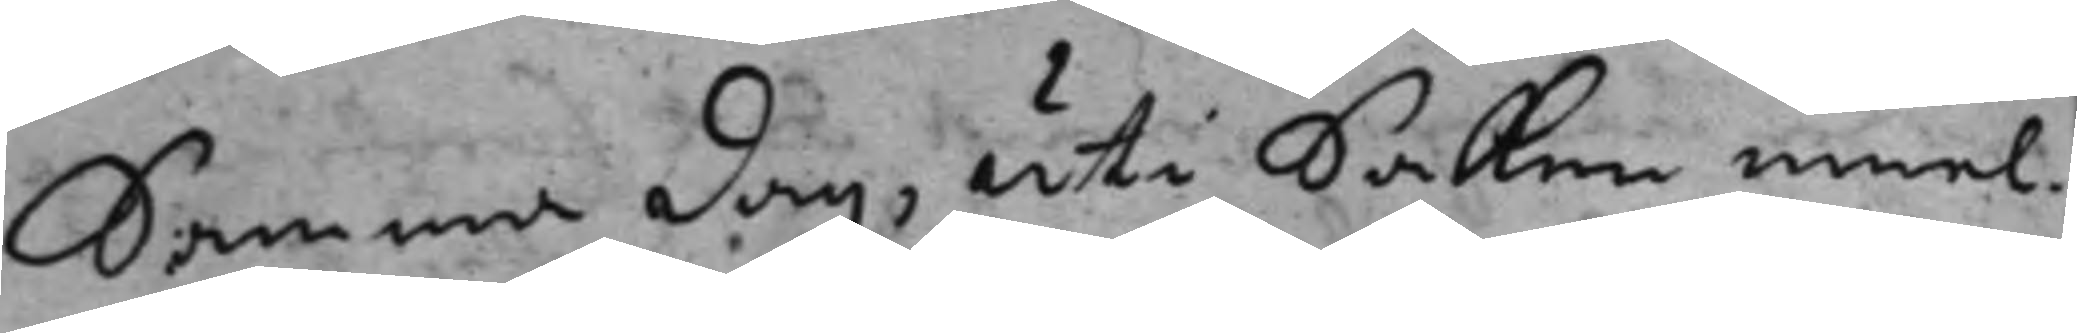Samma dag, uti Saken emel¬
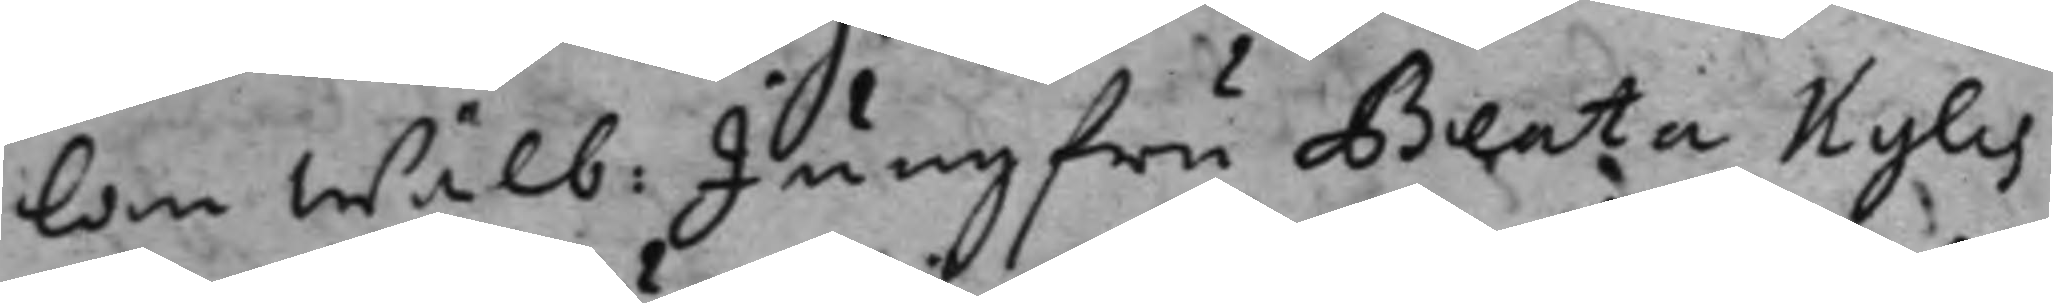lan wälb: Jungfru Beata Kyles
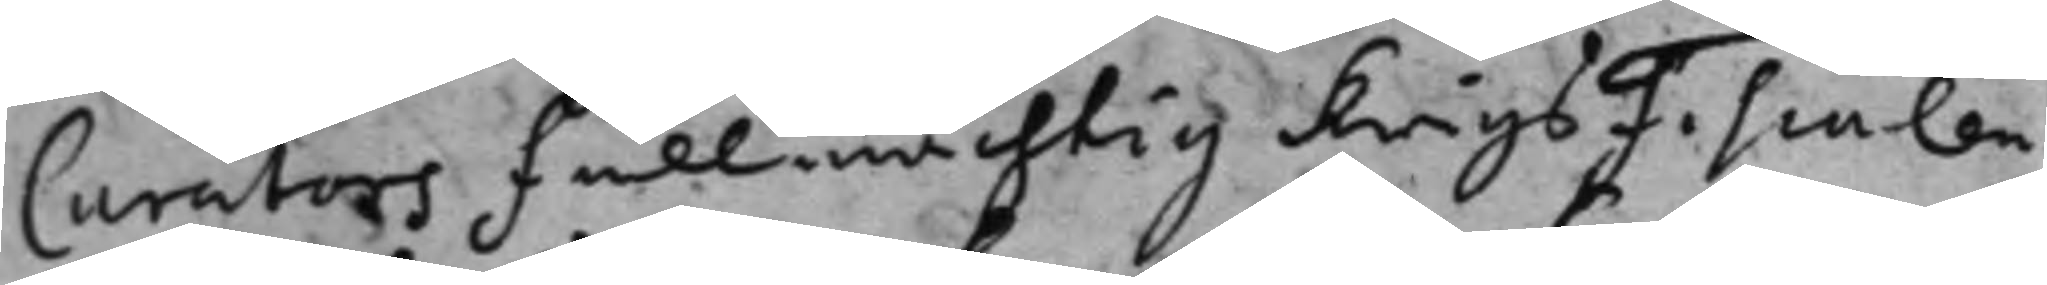Curators fullmächtig KrigsFiscalen
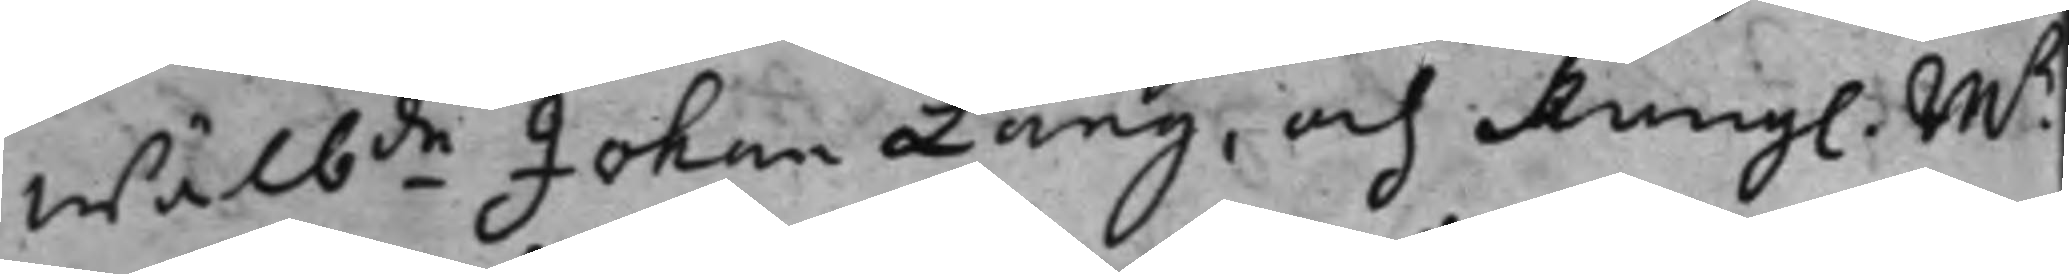wäl.de Johan Lang, och Kungl. Mß
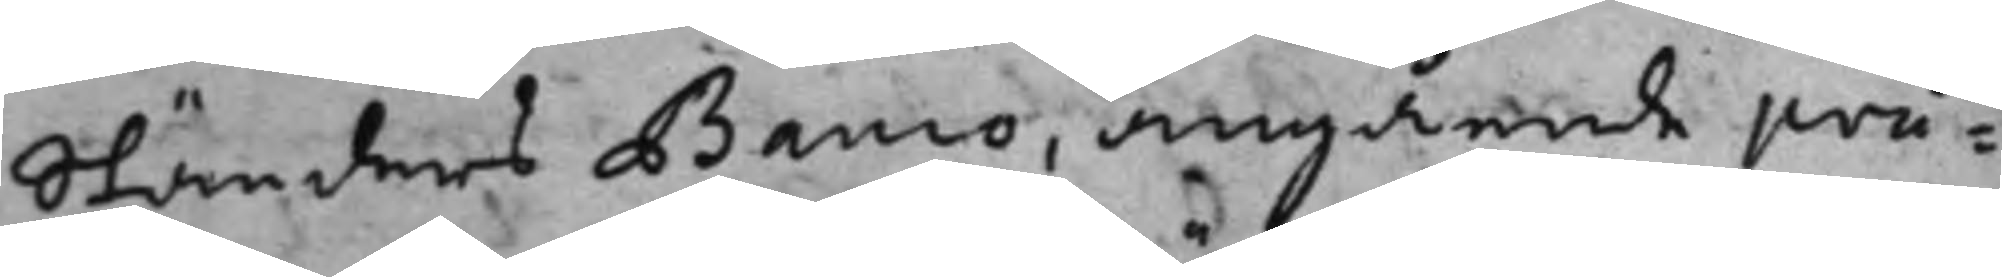ständers Banco, angående prä¬
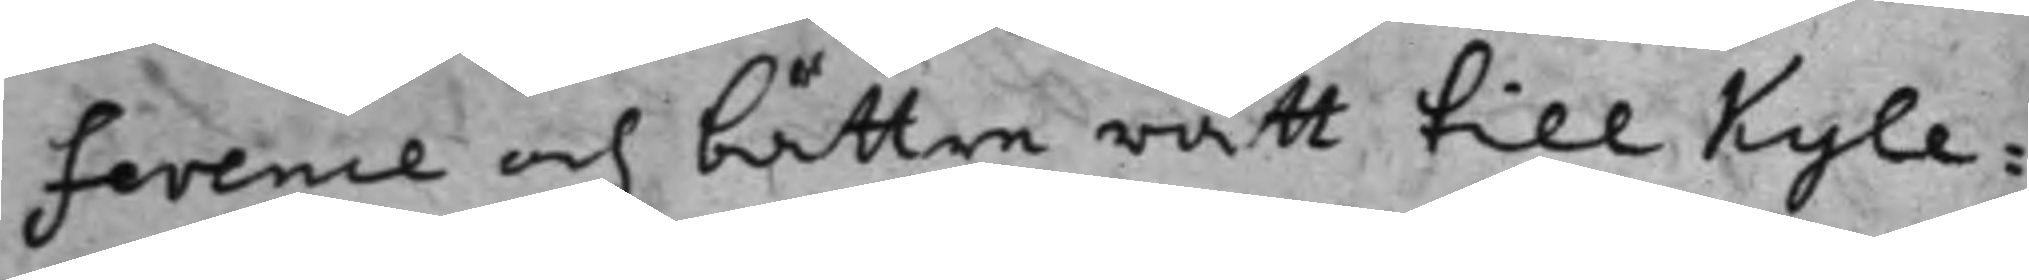ference och bättre rätt till Kyle¬
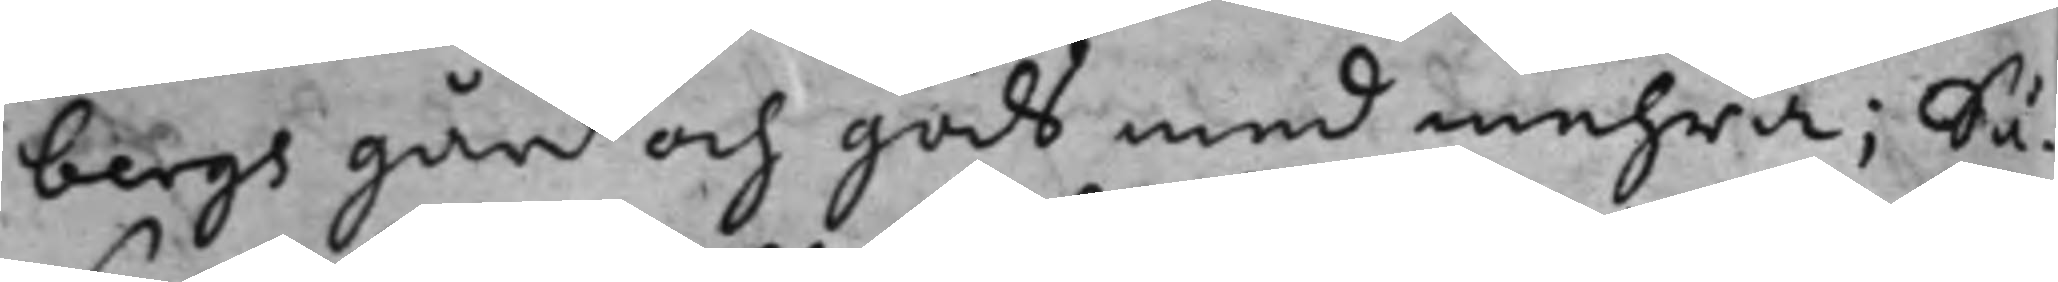bergs gård och gods med mehra; Så¬
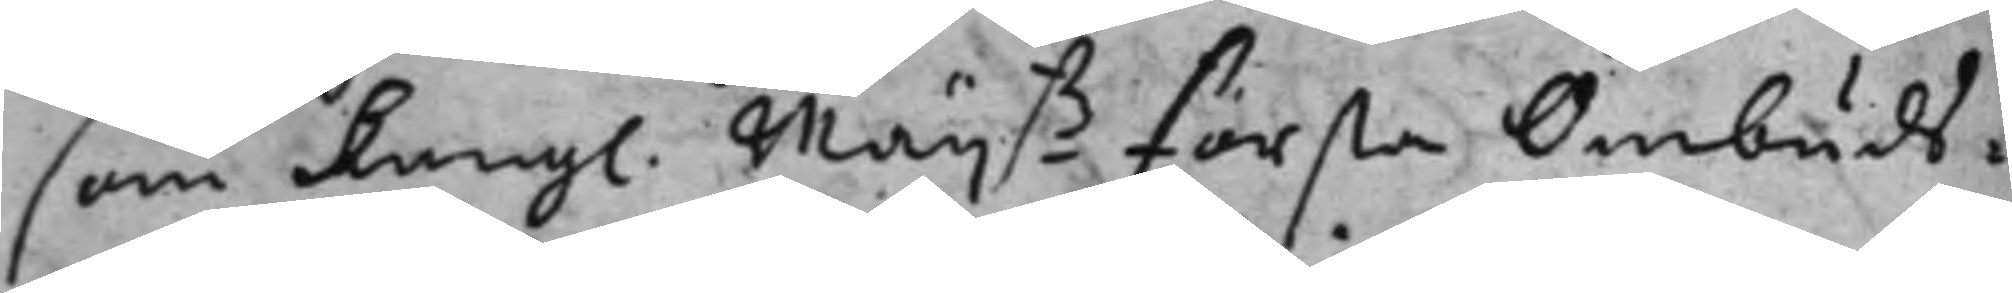som Kongl. Maijß första Ombuds¬
